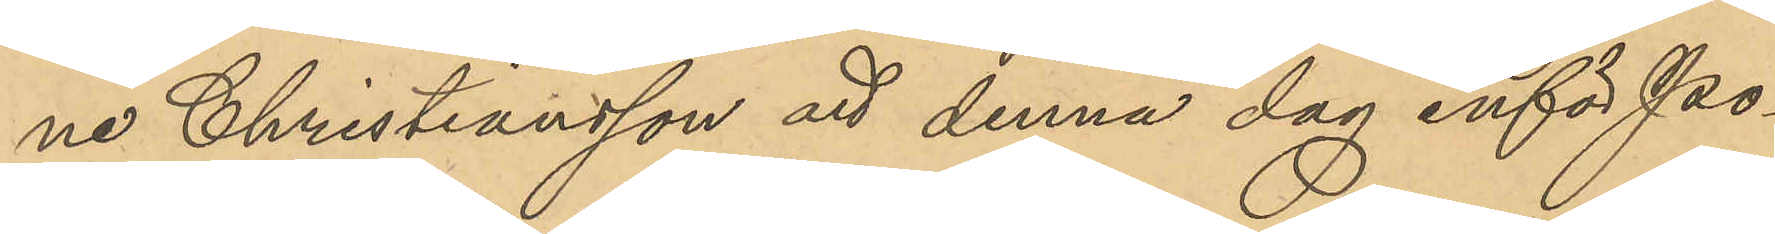ne Christiansson att denna dag inför Po¬
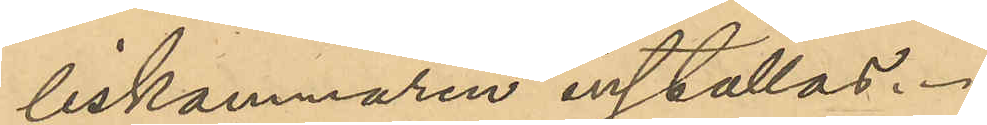liskammaren inställas.
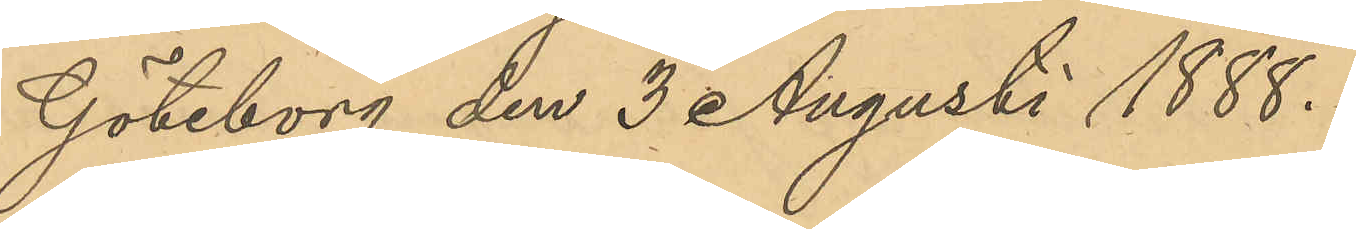Göteborg den 3 Augusti 1888.
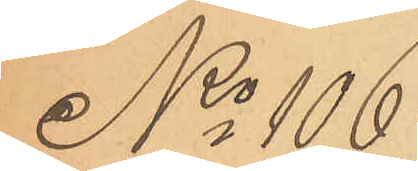No 106
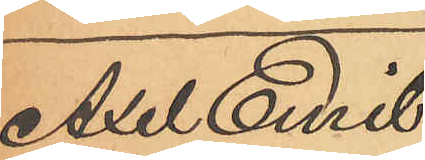Axel Emil
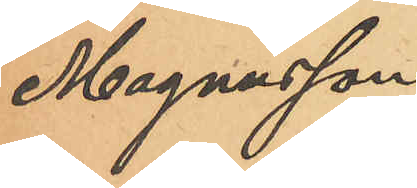Magnusson.
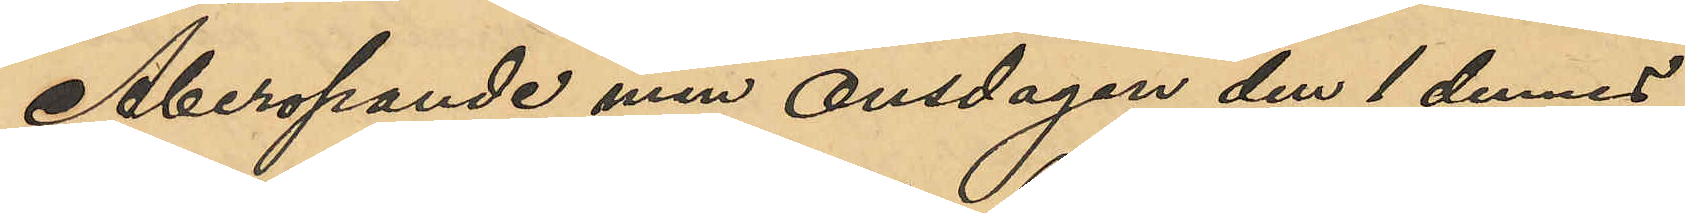Åberopande min Onsdagen den 1 dennes
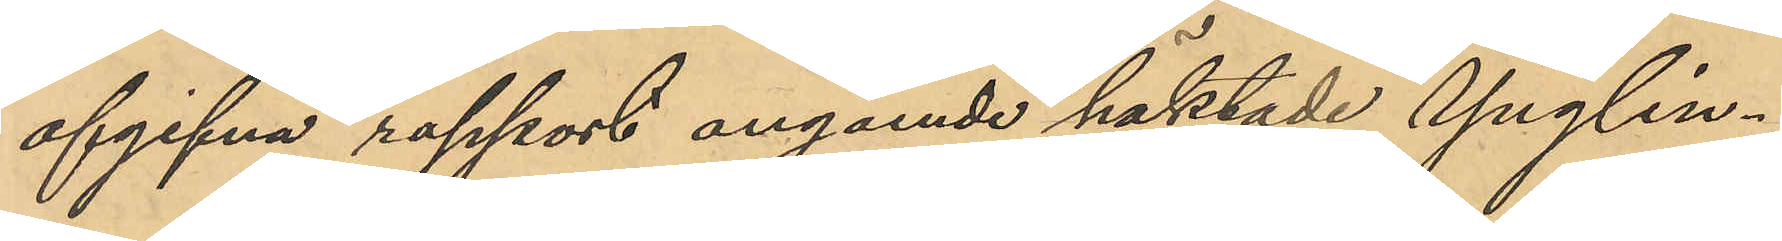afgifna rapport angående häktade Ynglin¬
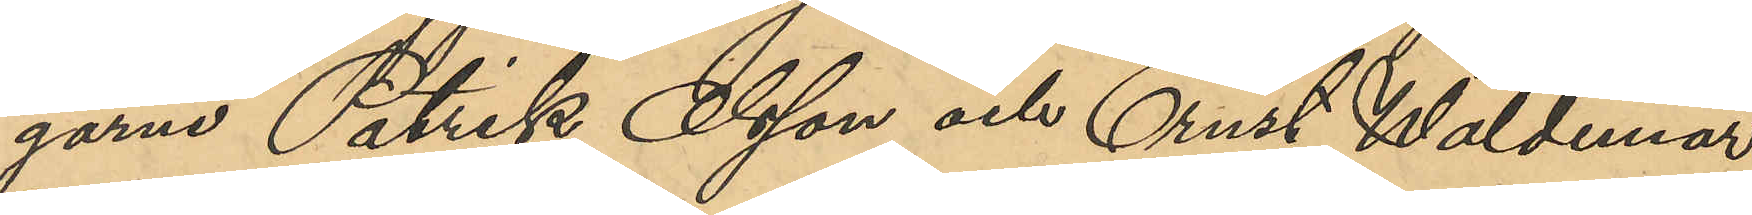garne Patrik Olsson och Ernst Waldemar
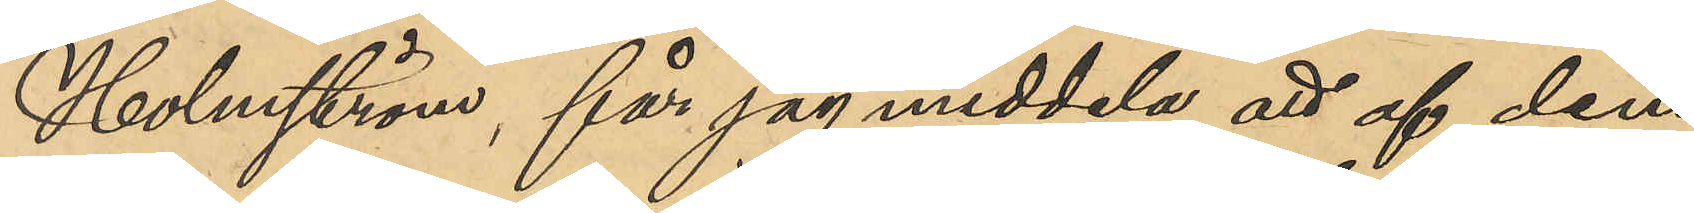Holmström, får jag meddela att af dem
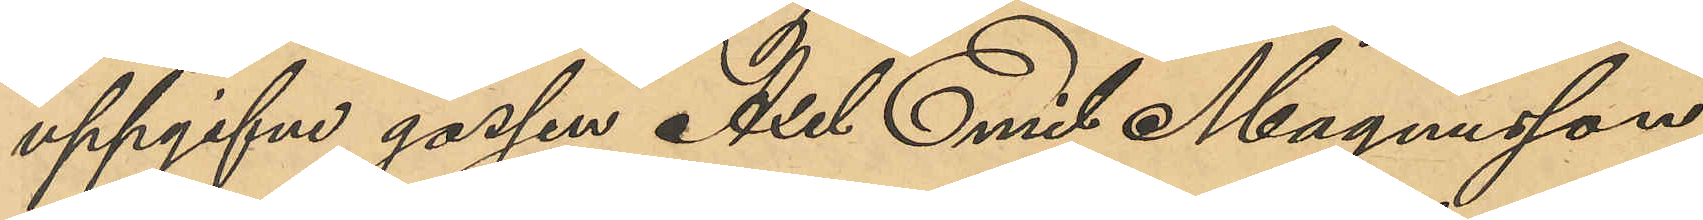uppgifne gossen Axel Emil Magnusson
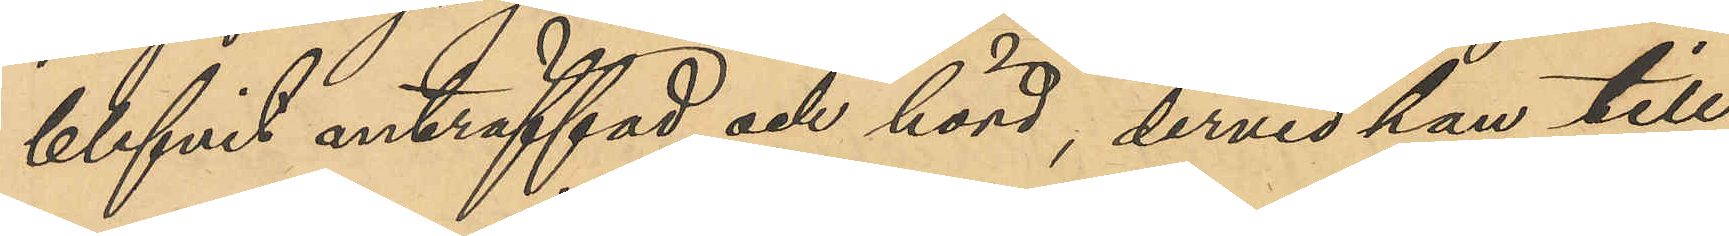blifvit anträffad och hörd, dervid han till
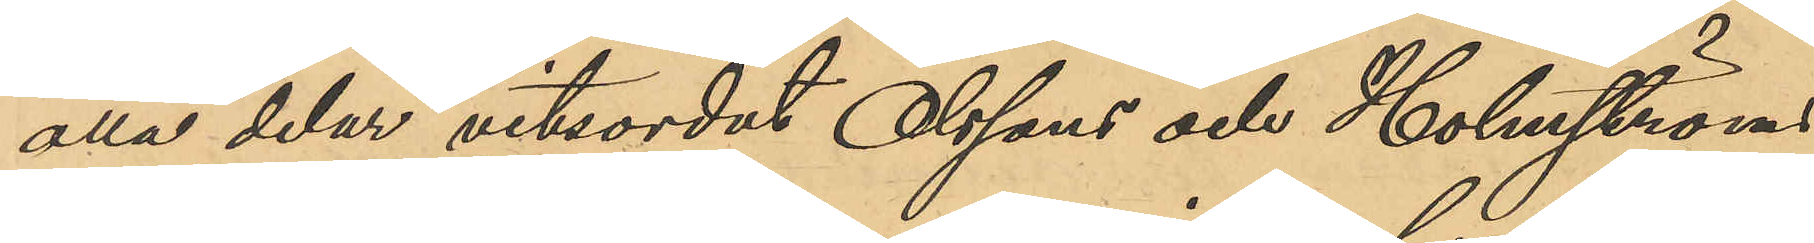alla delar vitsordat Olssons och Holmströms
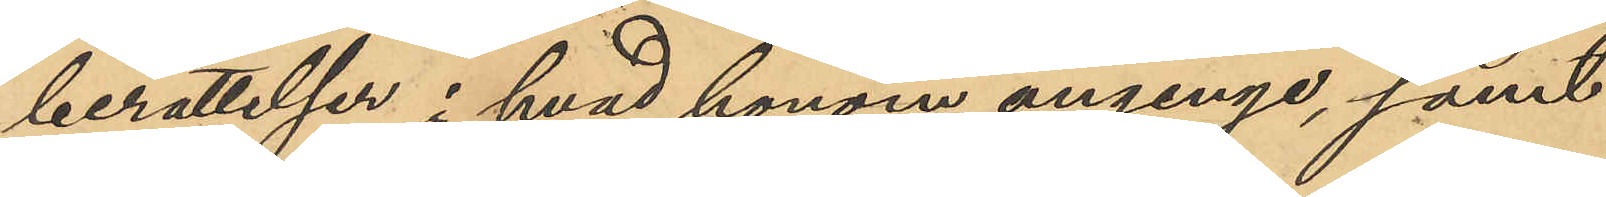berättelse i hvad honom anginge, samt
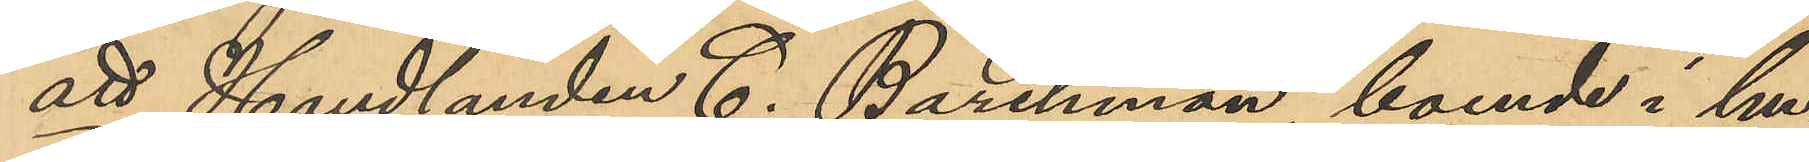att Handlanden C. Barchman, boende i hu¬
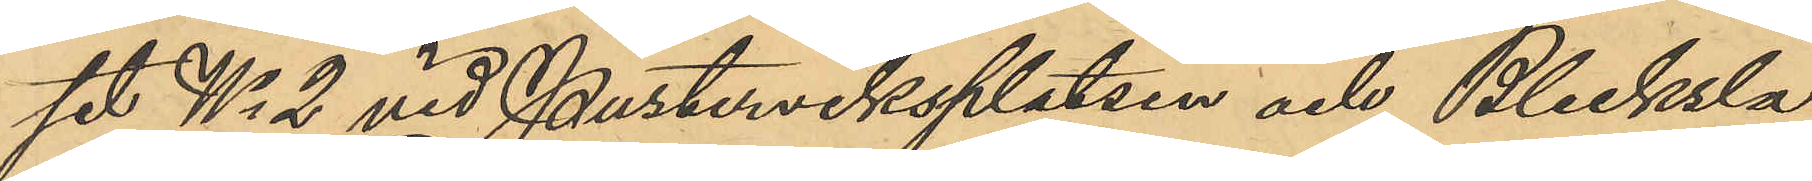set No 2 vid Pusterviksplatsen och Blecksla¬
